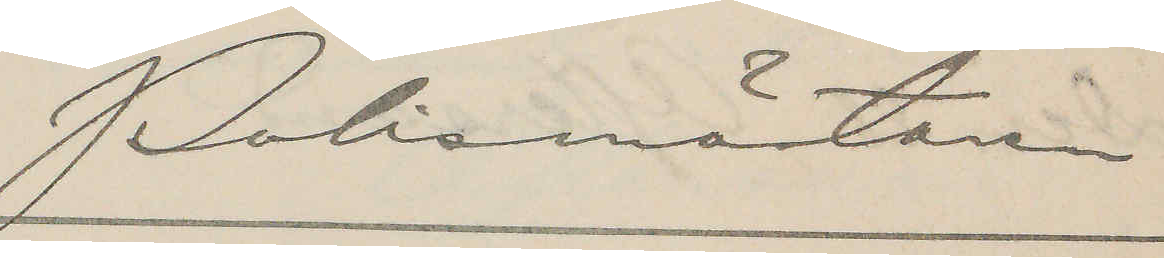Polismästaren
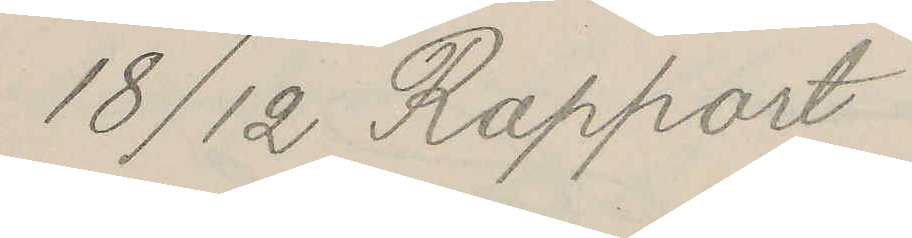18/12 Rapport
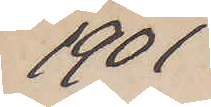1901
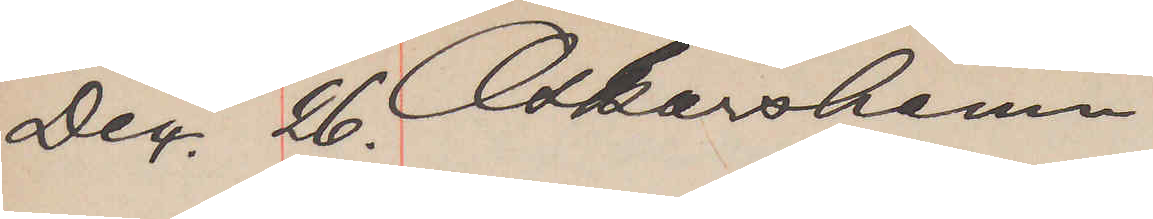Dec. 26. Oskarshamn
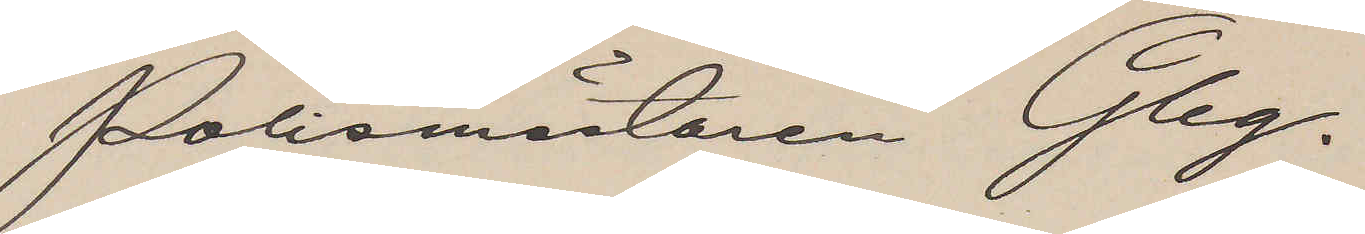Polismästaren Gbg.
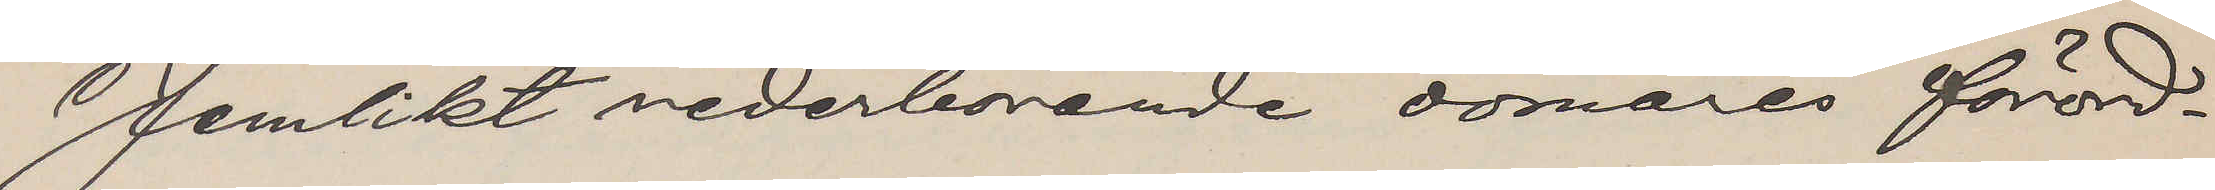Jemlikt vederbörande domares förord¬
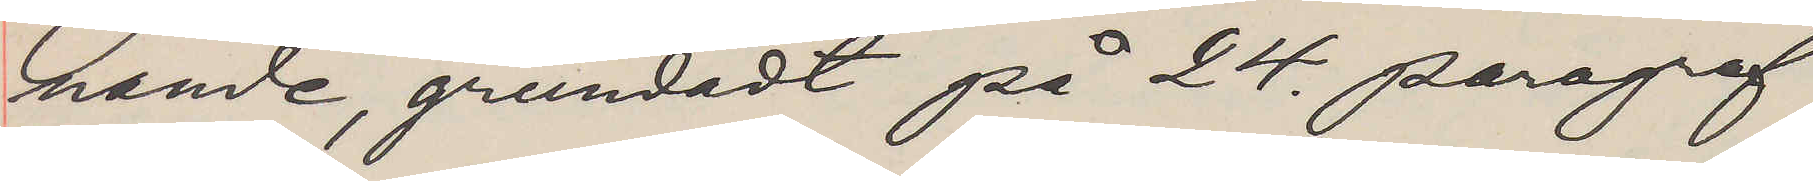nande, grundadt på 24. paragraf
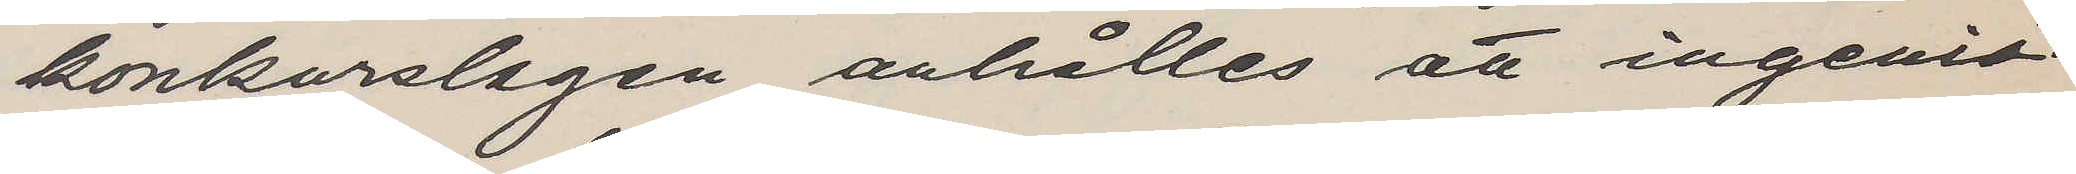konkurslagen anhålles att ingeniö¬
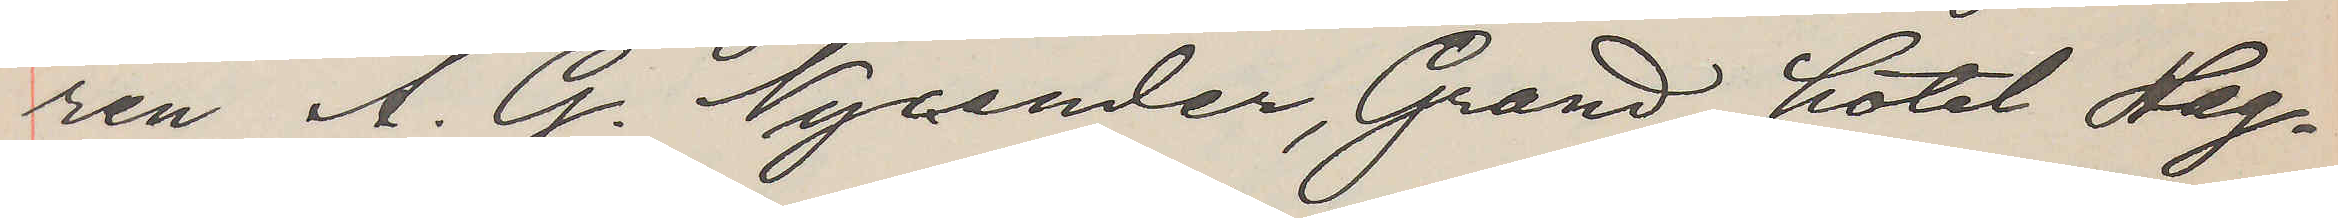ren A. G. Nycander, Grand hotel Hag¬
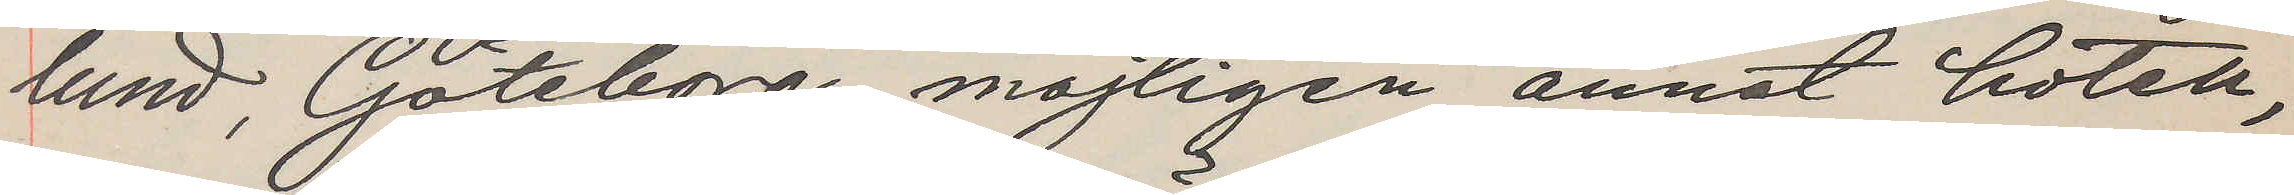lund, Göteborg, möjligen annat hotell,
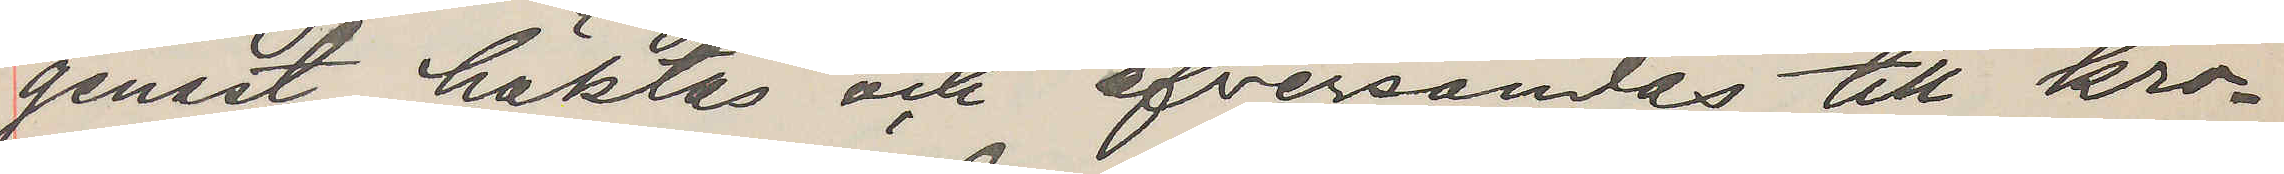genast häktas och öfversändas till kro¬
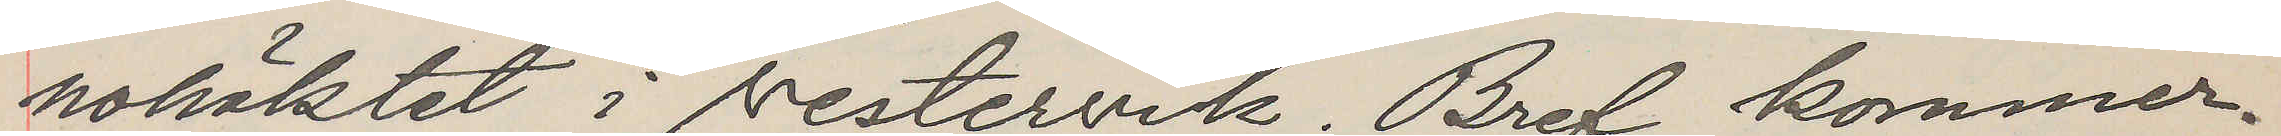nohäktet i Vestervik. Bref kommer.
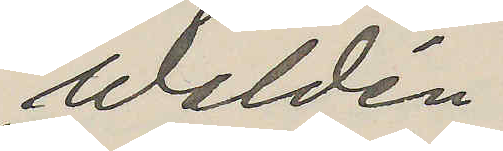Waldén
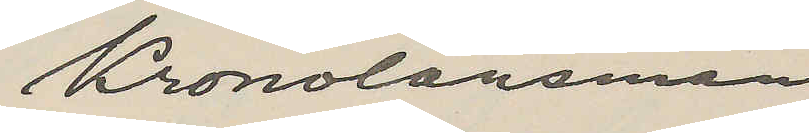Kronolänsman
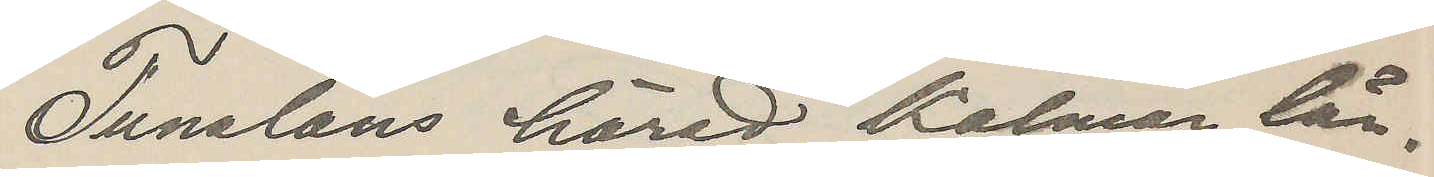Tunaläns härad Kalmar län.
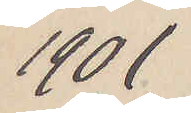1901
